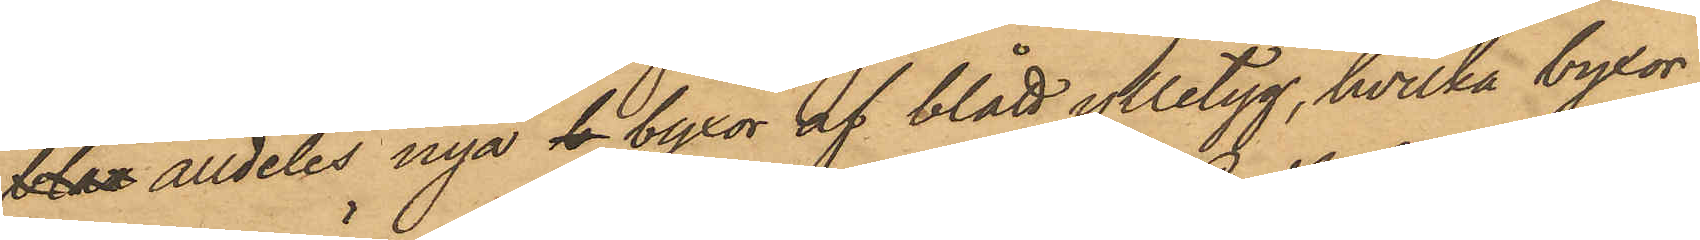blan alldeles nya d byxor af blått ylletyg, hvilka byxor
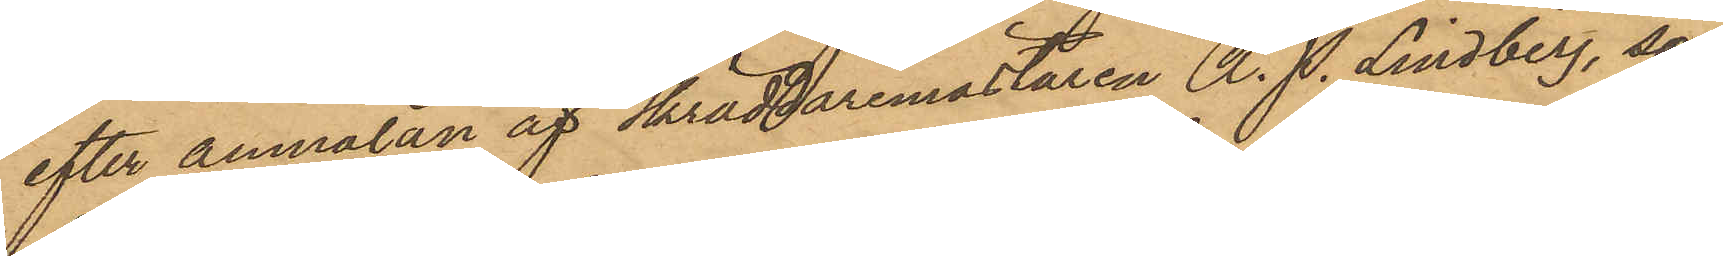efter anmälan af Skräddaremästaren A. P. Lindberg, som
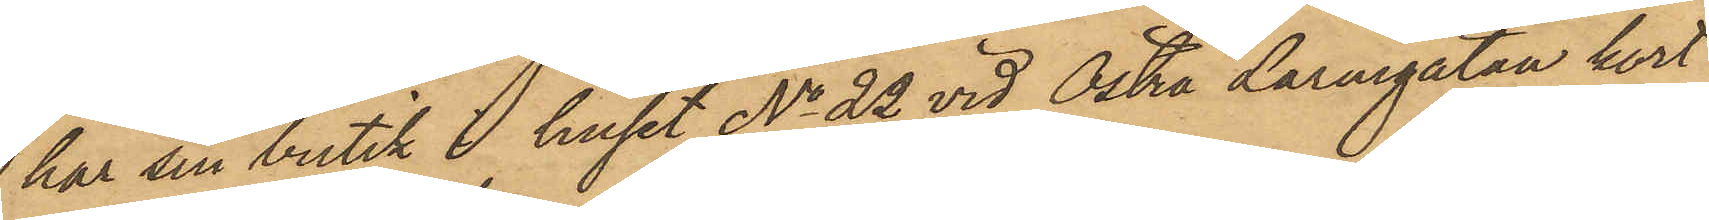har sin butik i huset No 22 vid Östra Larmgatan kort
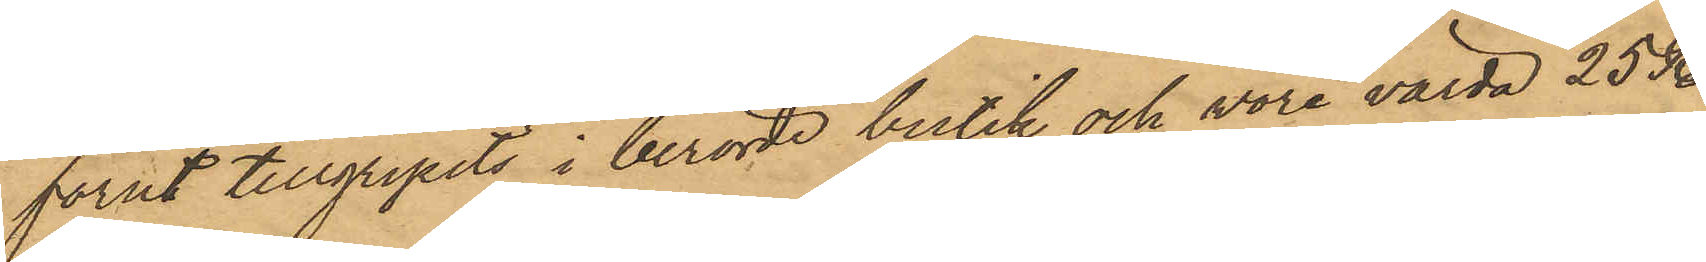förut tillgripits i berörde butik och vore värda 25 Rdr
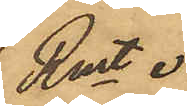Rmt .
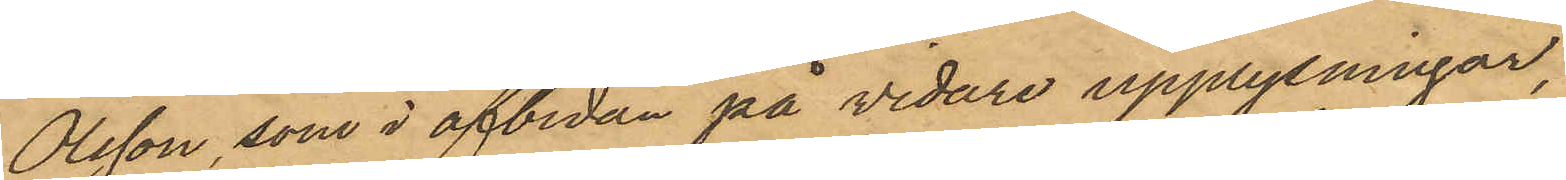Olsson, som i afbidan på vidare upplysningar,
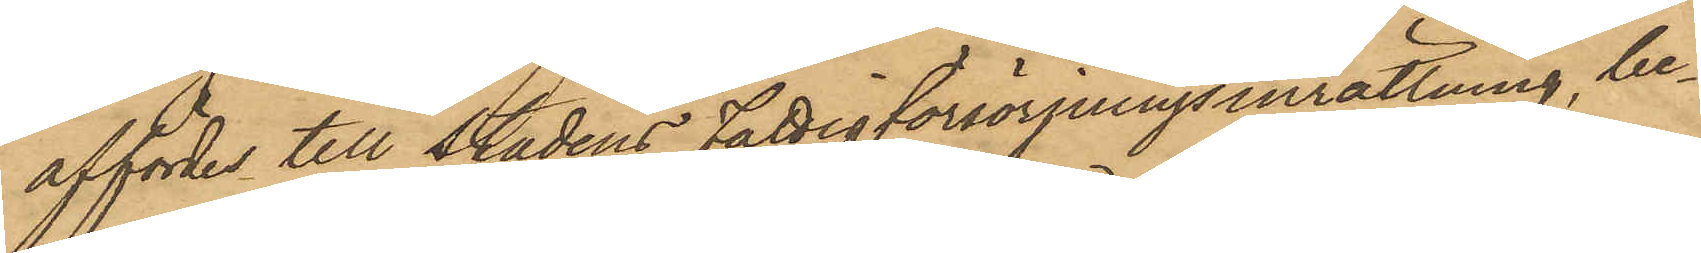affördes till Stadens fattigförsörjningsinrättning, be¬
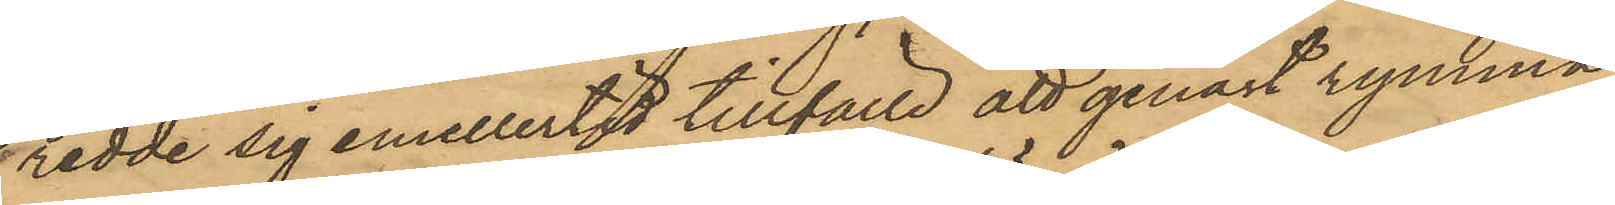redde sig emellertid tillfälle att genast rymma
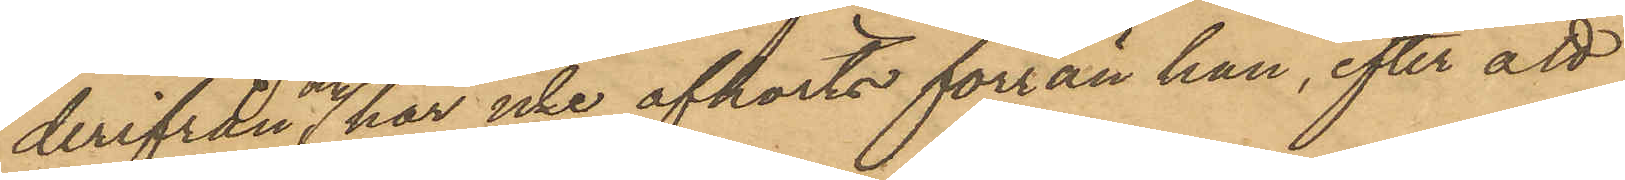derifrån och har icke afhörts förrän han, efter att
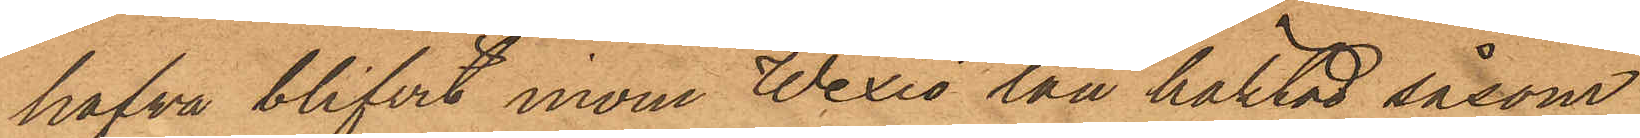hafva blifvit inom Wexiö län häktad såsom
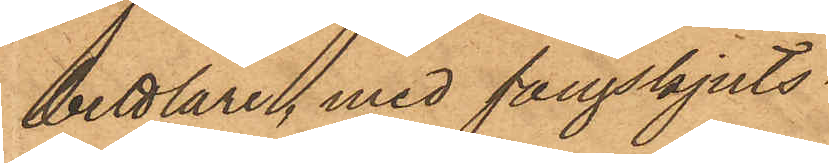bettlare, med fångskjuts.
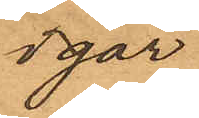igår
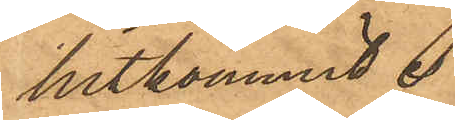hitkommit.
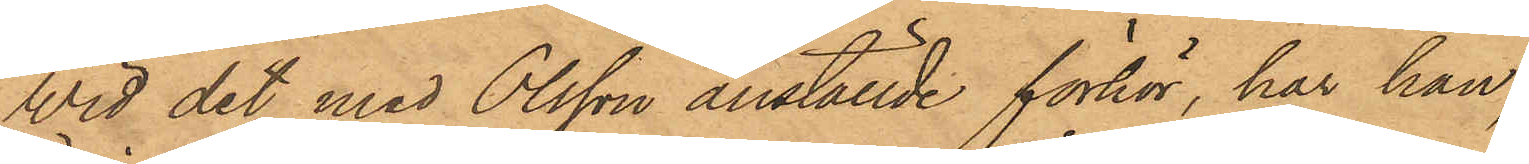Wid det med Olsson anställde förhör, har han,
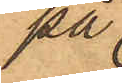på
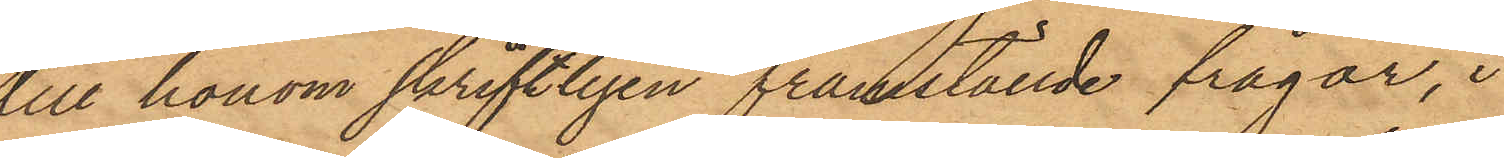till honom skriftligen framställde frågor, i
